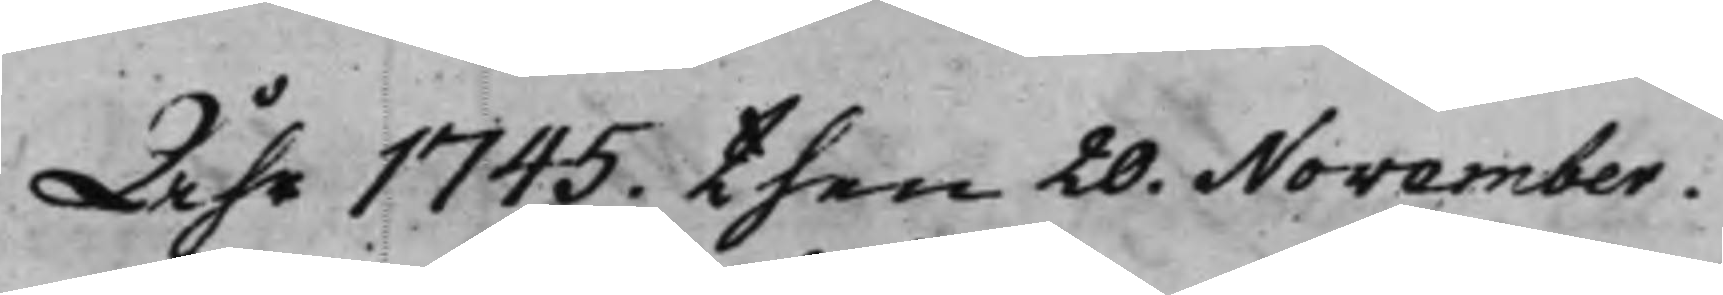Åhr 1745. then 20. November.
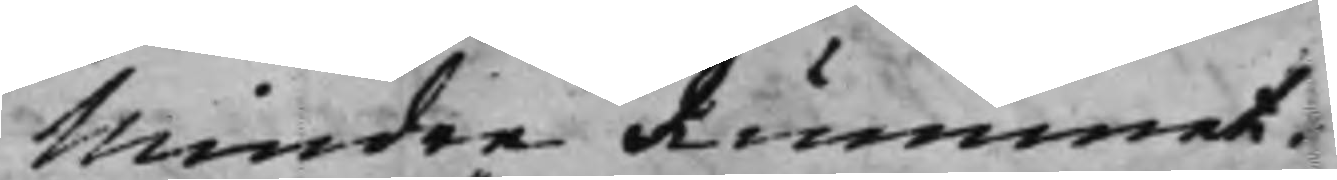Mindre Rummet.
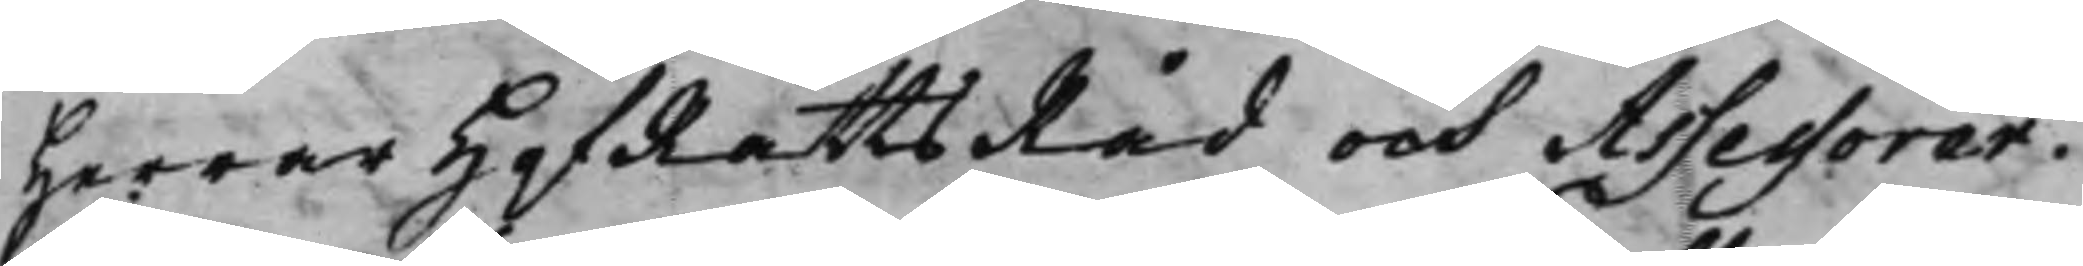Herrar HofRättsRåd och Assessorer.
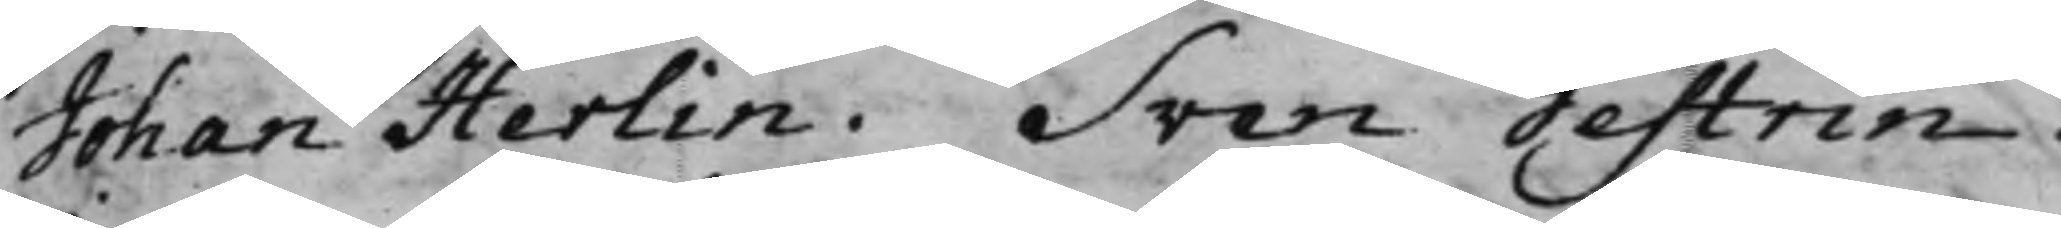Johan Herlin. Sven Gestrin.
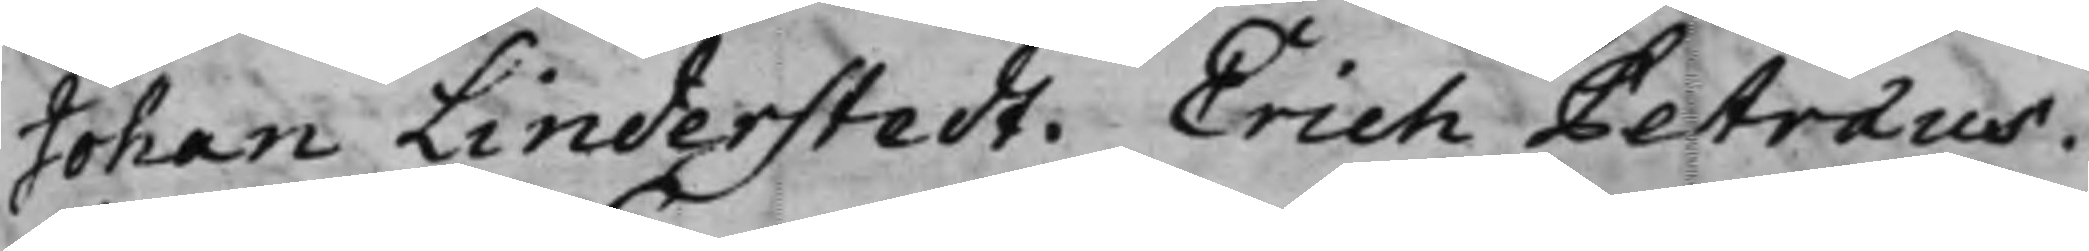Johan Linderstedt. Erich Petræus.
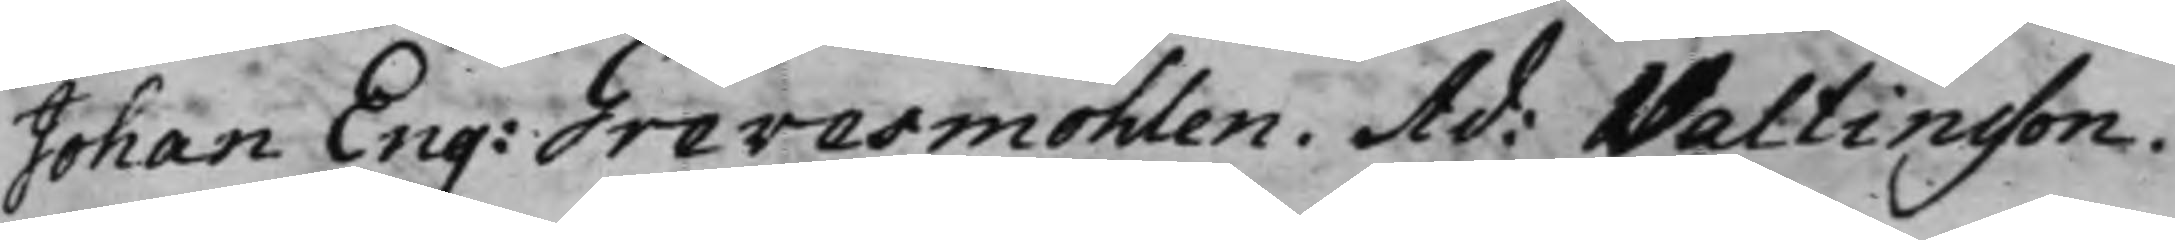Johan Eng: Grevesmöhlen. Ad. Valtinsson.
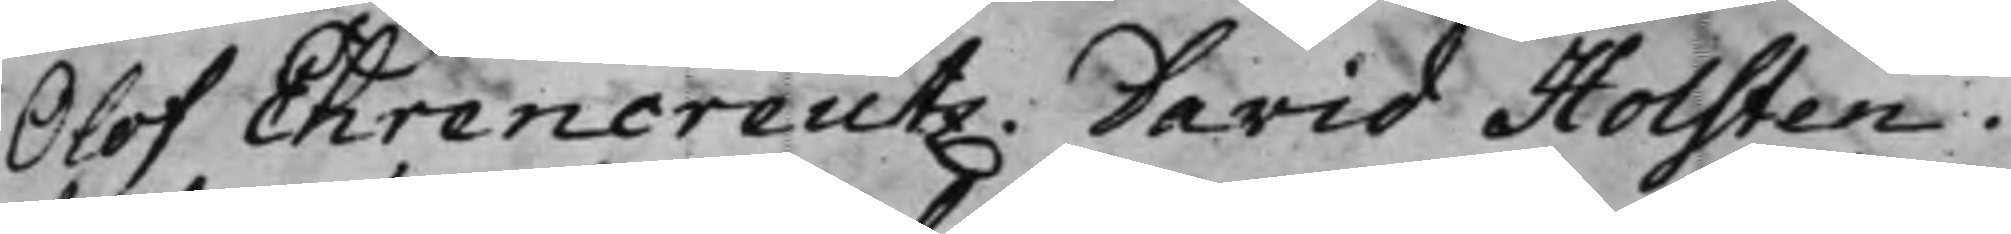Olof Ehrencreutz. David Holsten.
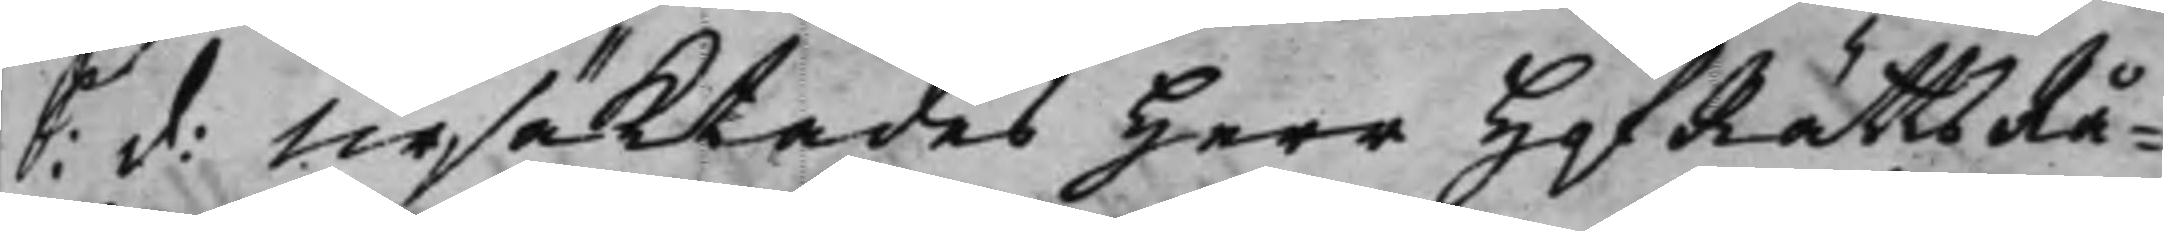S: d: Ursäktades Herr HofRättsRå¬
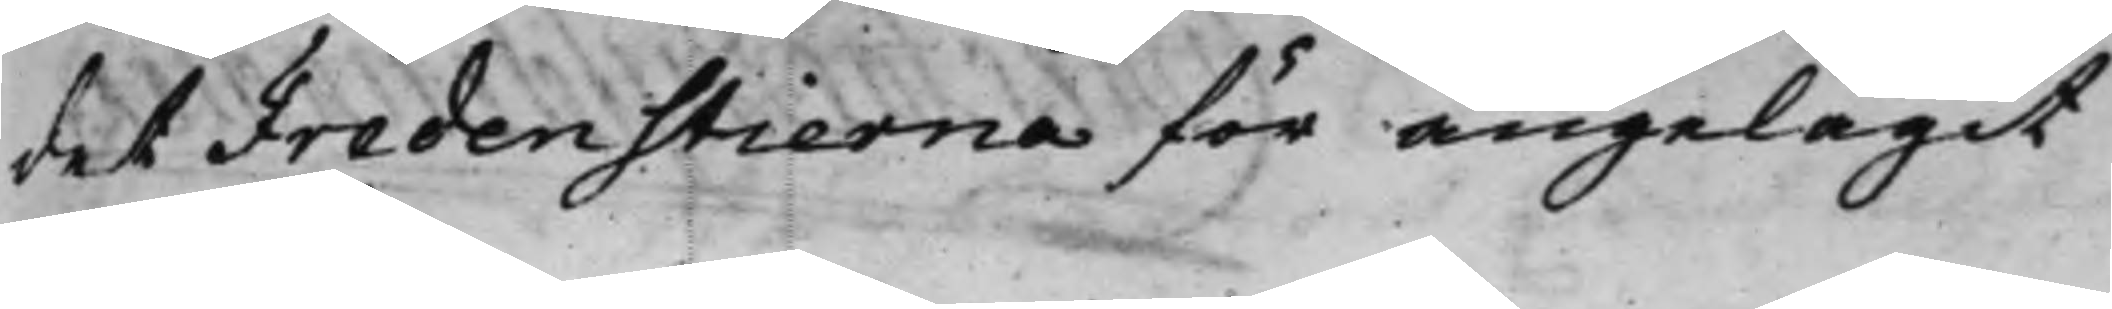det Fredenstierna för angelägit
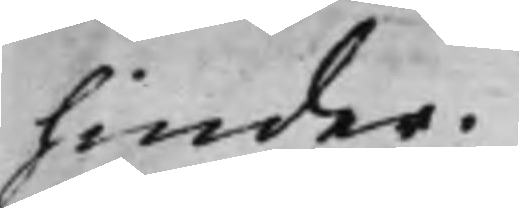hinder.
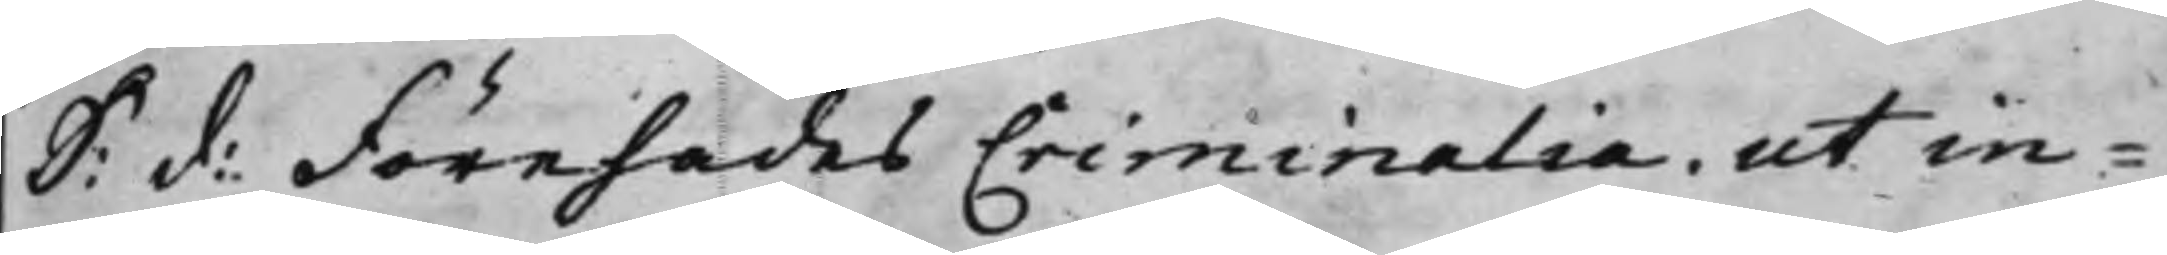S: d: Förehades Criminalia ut in
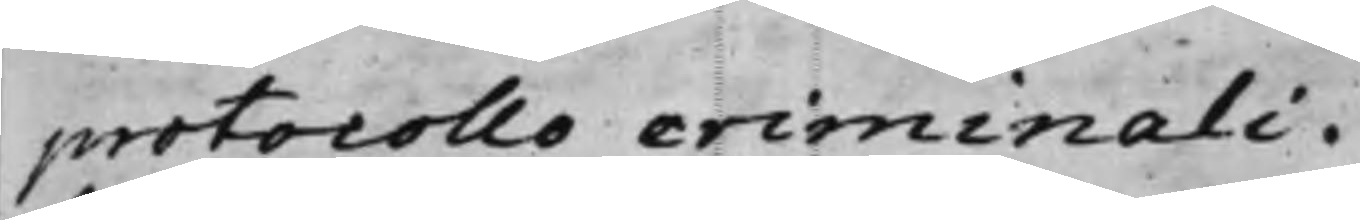protocollo criminali.
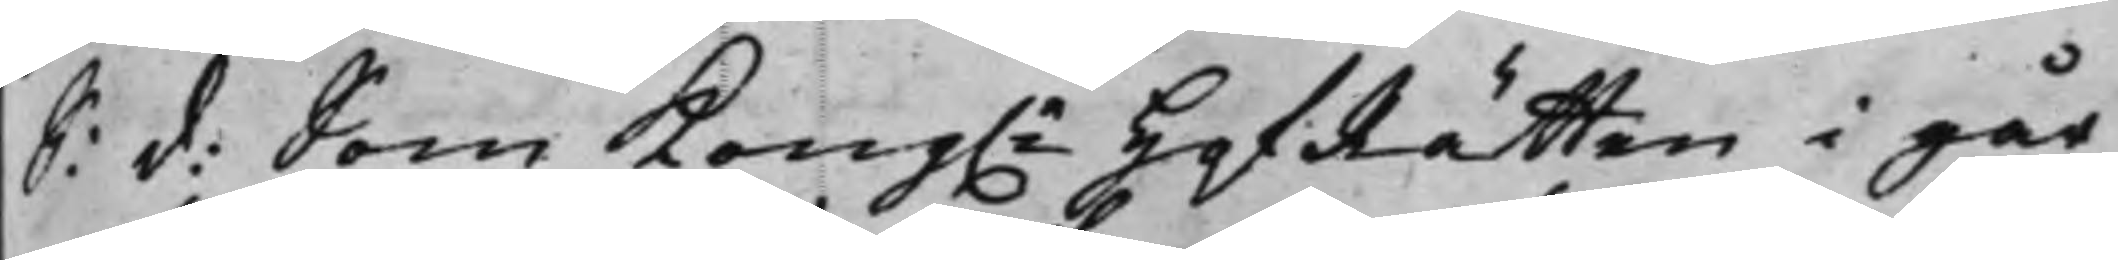S: d: Som Kong.e HofRätten i går
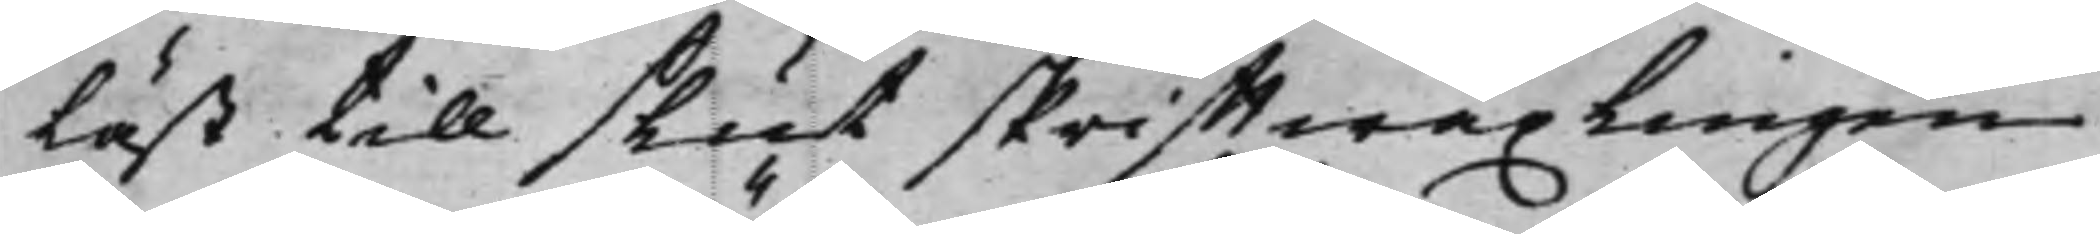läst till slut skrifftwäxlingen
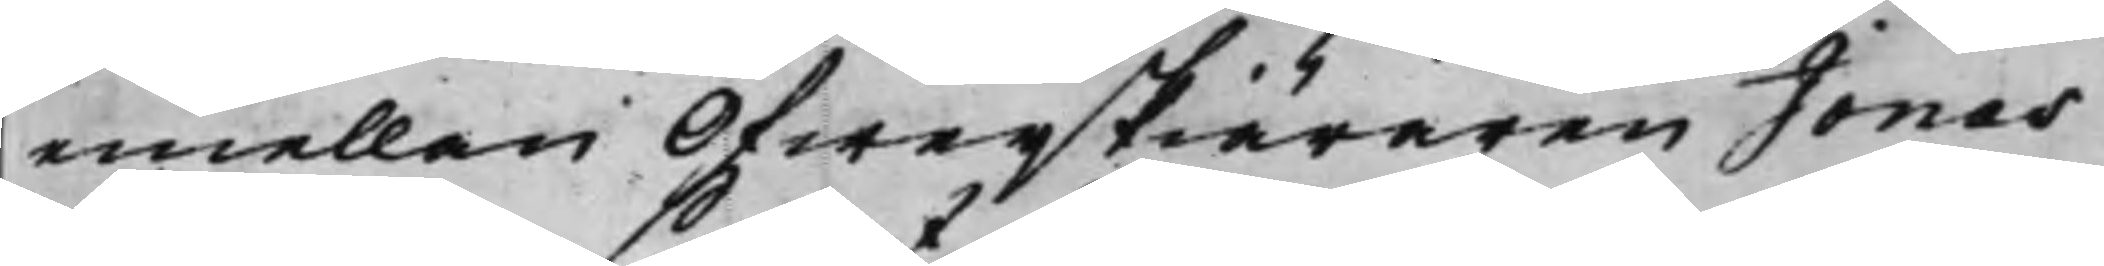emellan Öfwerskiäraren Jonas
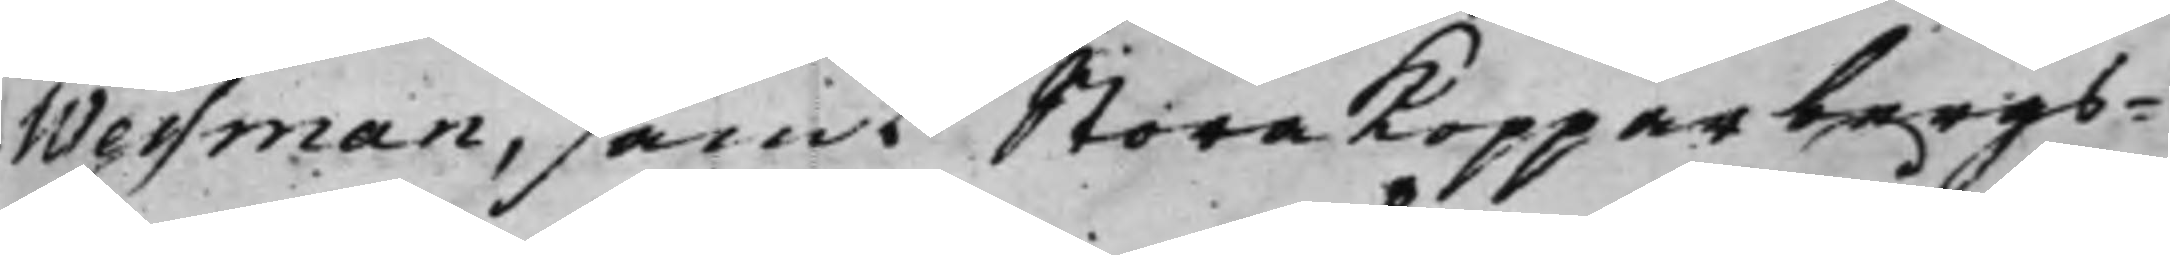Wessman, samt Stora Kopparbergs¬
